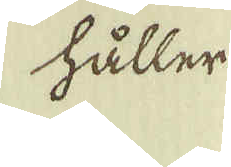håller
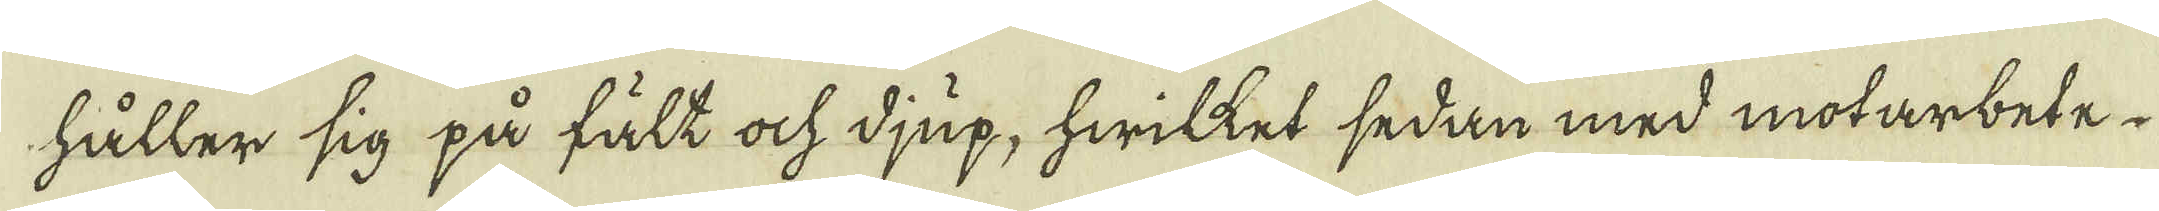håller sig på fält ock djup, hwilket sedan med motarbete
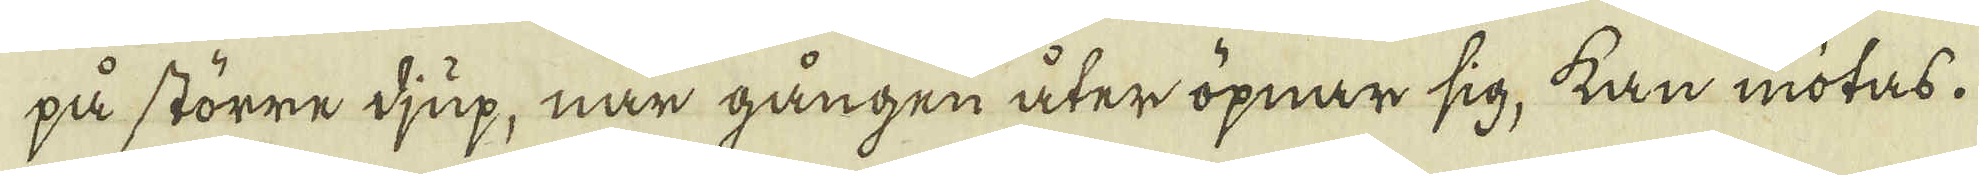på större djup, när gången åter öpnar sig, kan mötas.
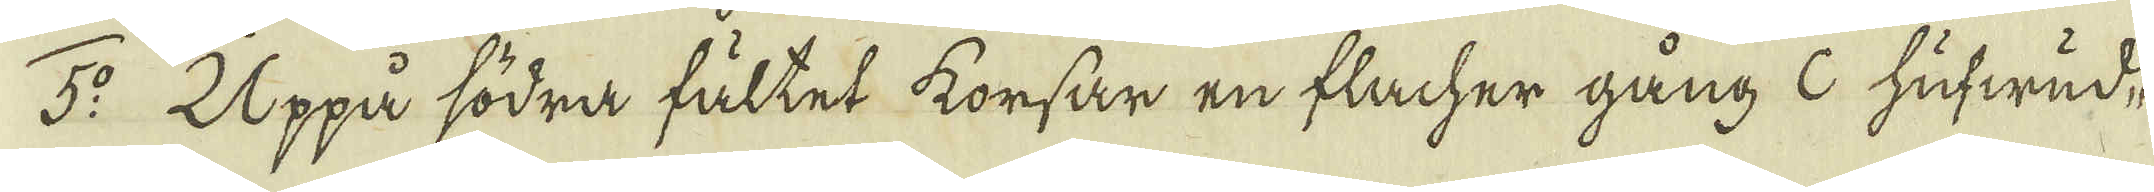5:o Uppå södra fältet korsar en flacher gång c hufwud-
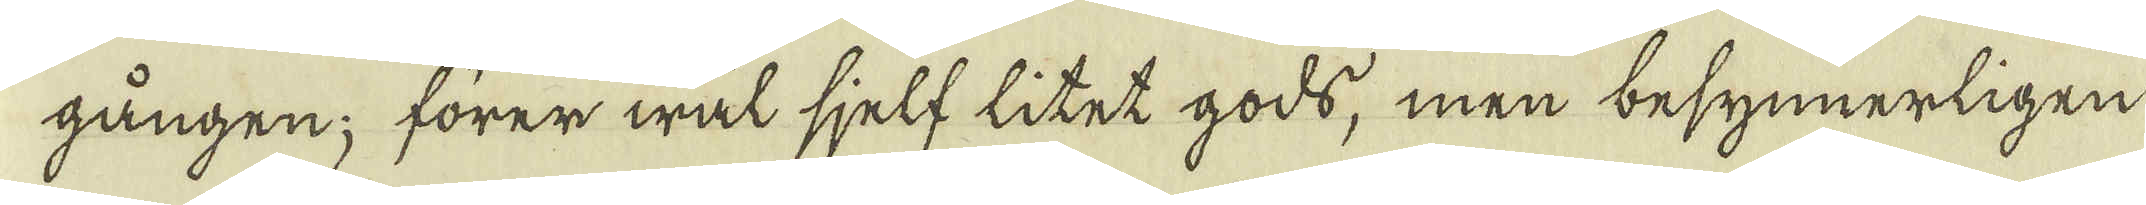gången; förer wäl sjelf litet gods, men besynnerligen
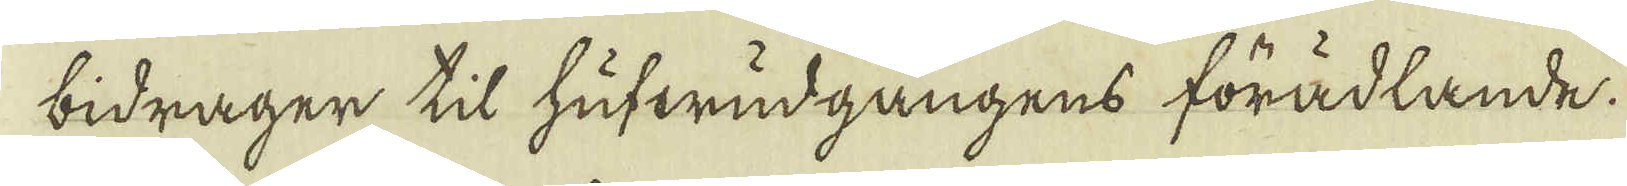bidrager til hufwudgångens förädlande.
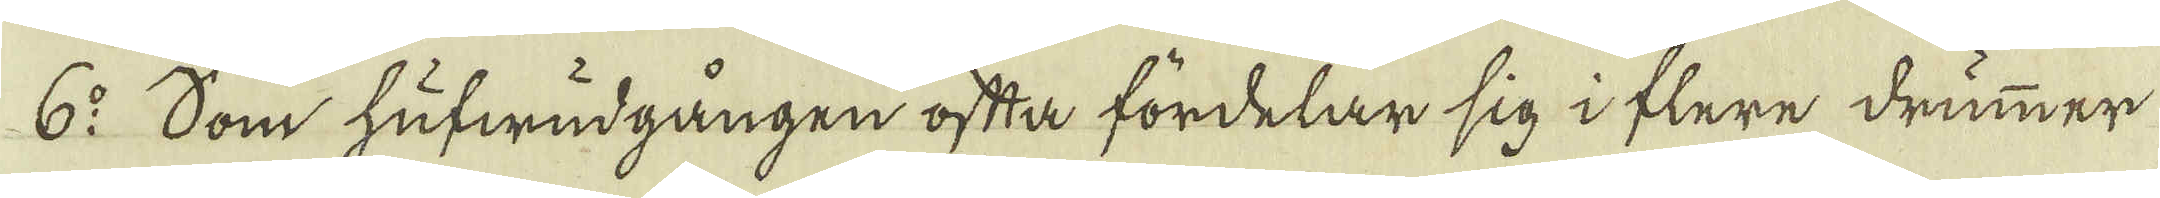6:o Som hufwudgången ofta fördelar sig i flere drummer
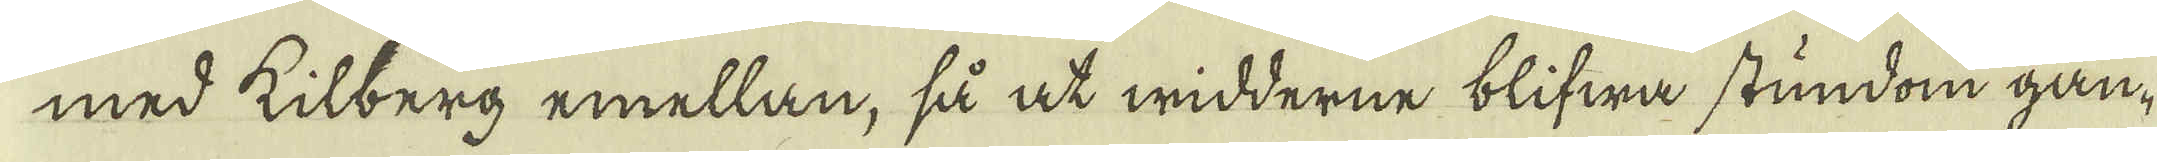med kilberg emellan, så at widderne blifwa stundom gån-
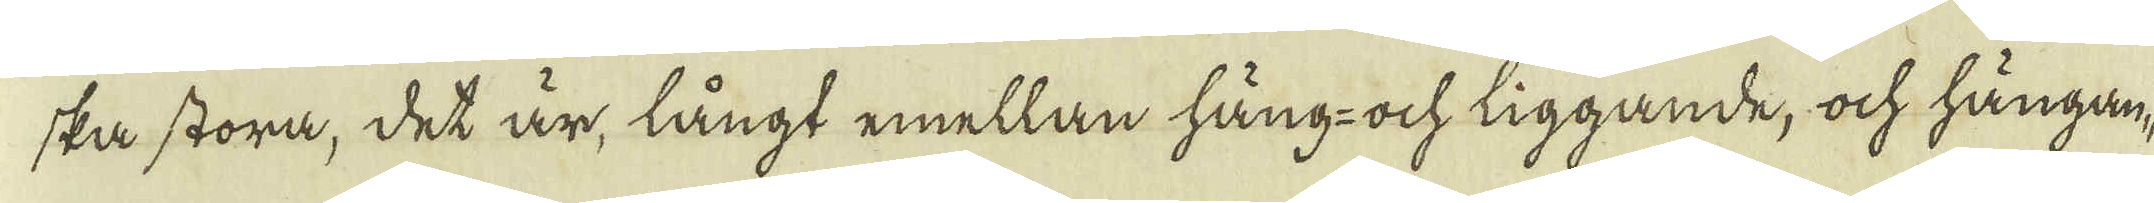ska stora, det är, långt emellan häng-och liggande, ock hängan-
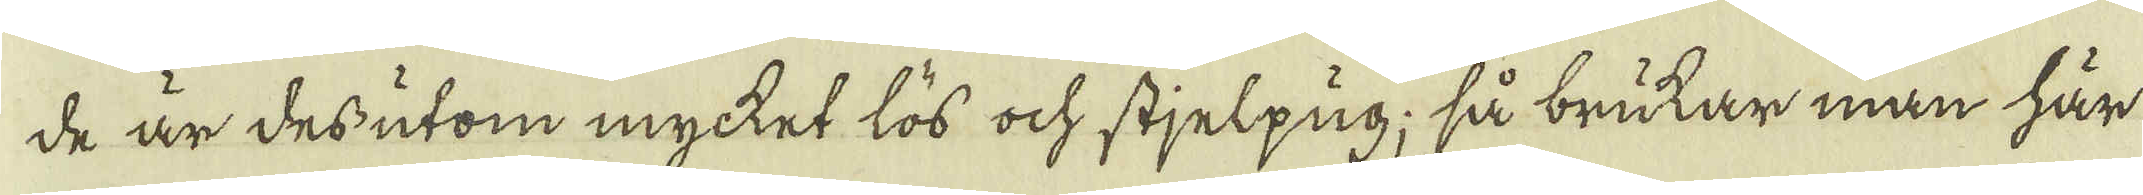de är des utom mycket lös ock stjelpug; så brukar man här
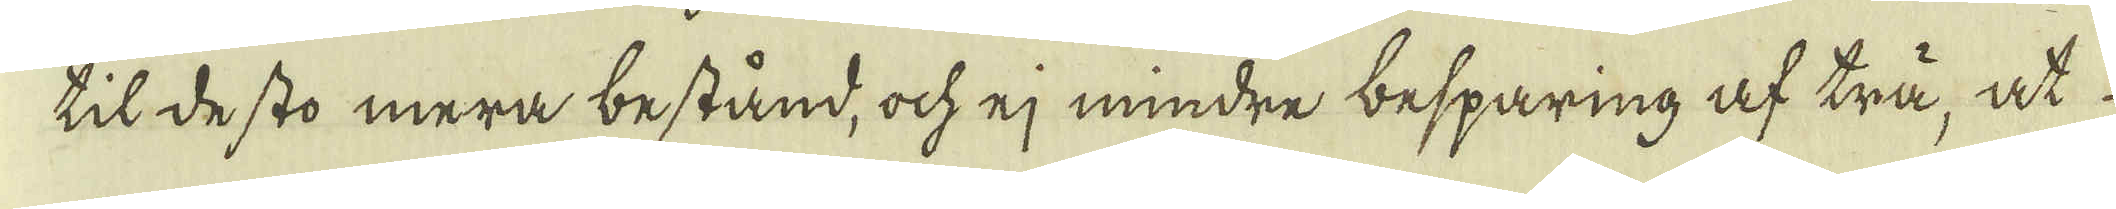til desto mera bestånd, ock ej mindre besparing af trä, at
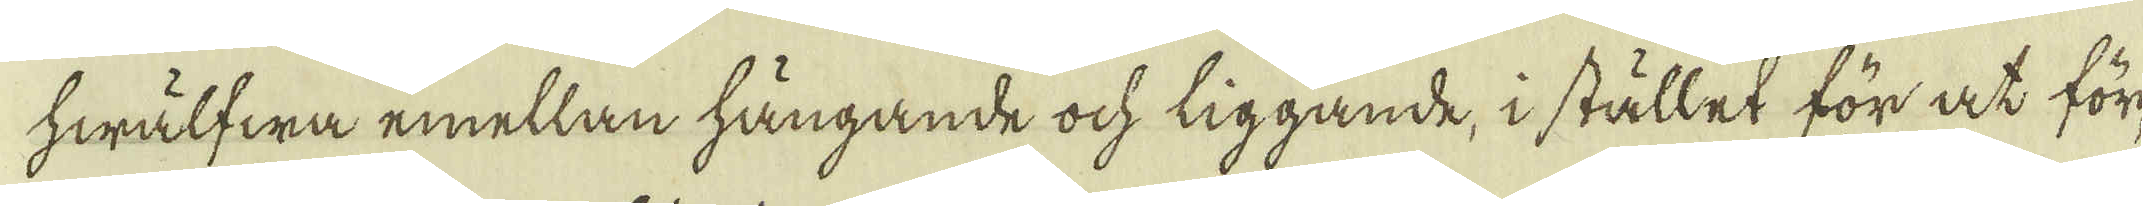hwälfwa emellan hängande ock liggande, i stället för at för-
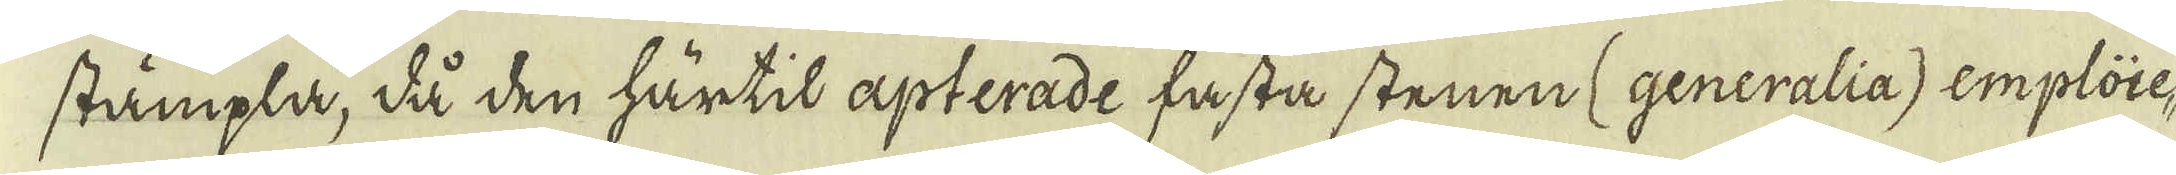stämpla, då den härtil apterade fasta stenen (generalia) emploie-
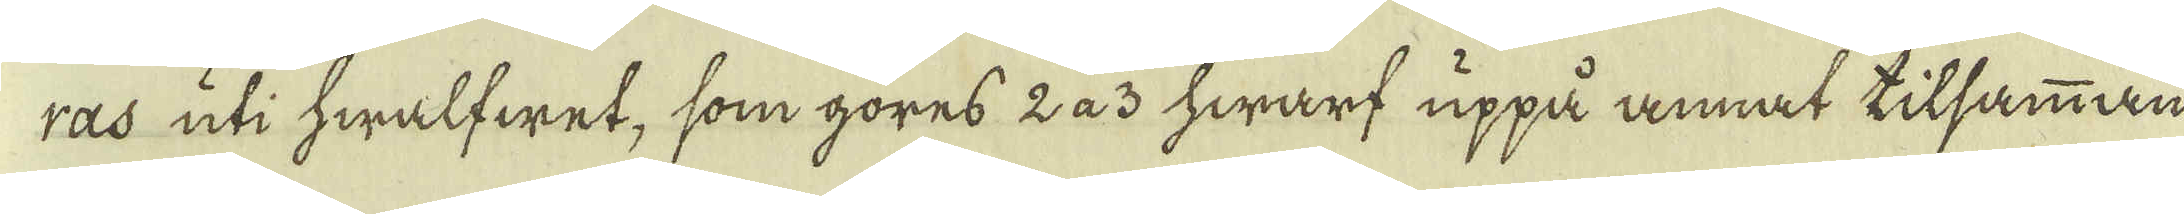ras uti hwalfwet, som göres 2 a 3 hwarf uppå annat tilsamman
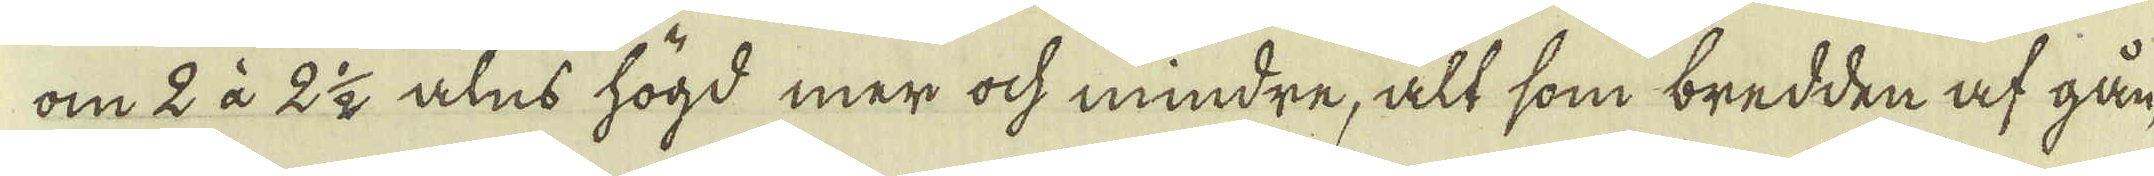om 2 à 2 1/2 alns högd mer ock mindre, alt som bredden af gån-
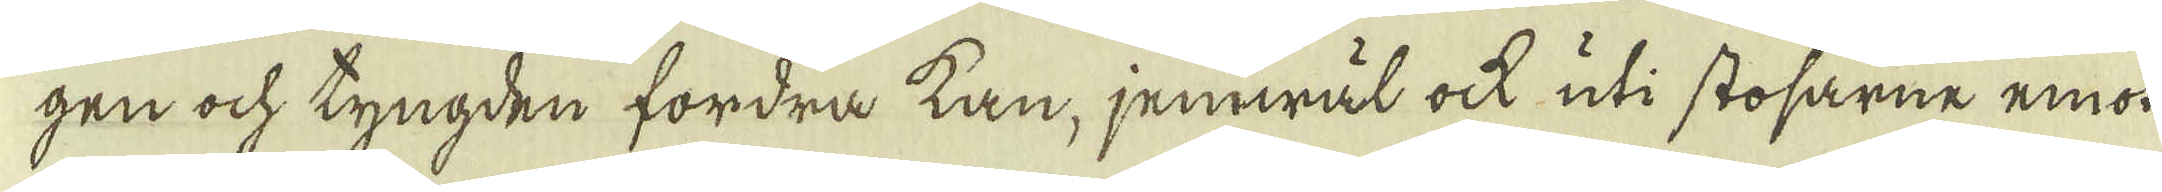gen ock tyngden fordra kan, jemwäl ock uti stosarne emon
